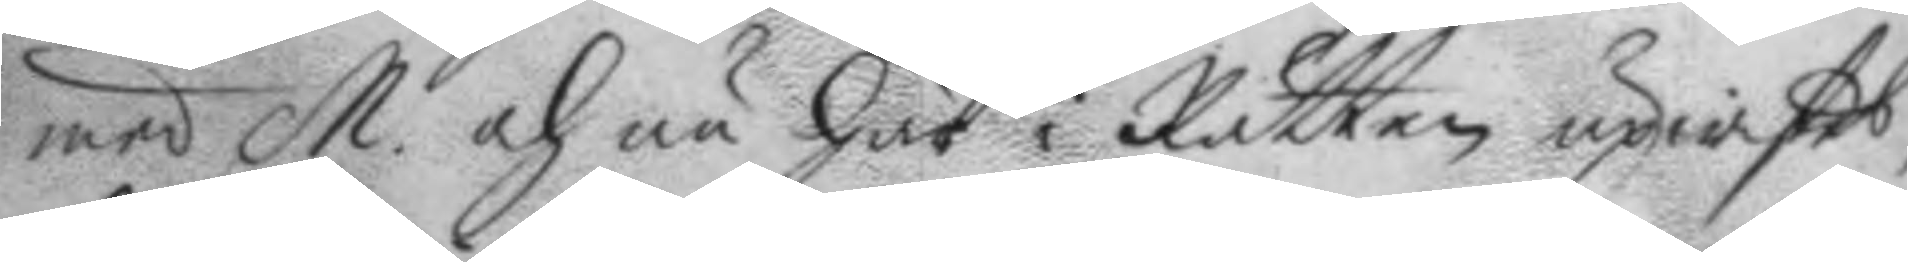med M. och är här i Rätten upwistes,
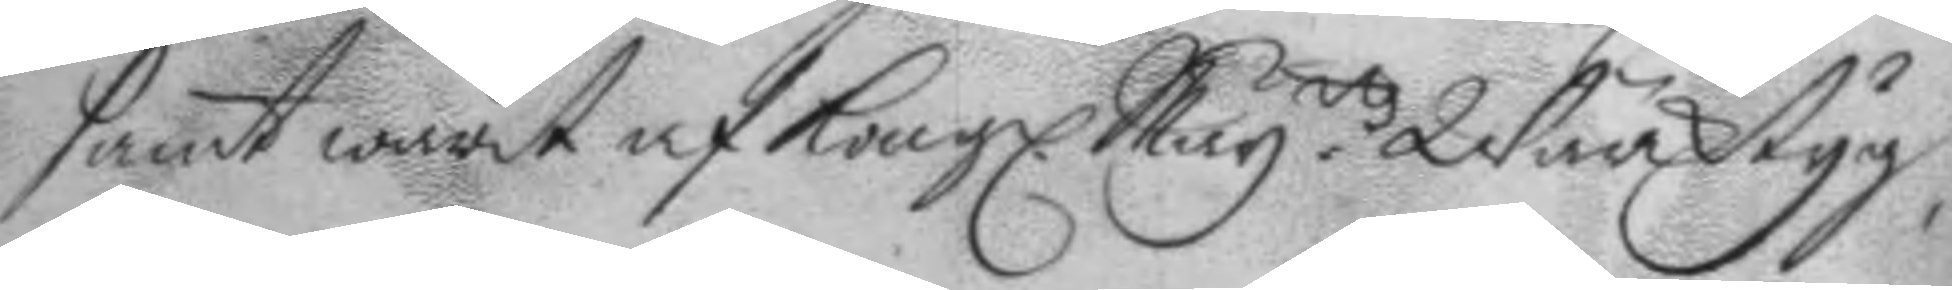samt warit af Kongl. May.ttz Wärktyg,
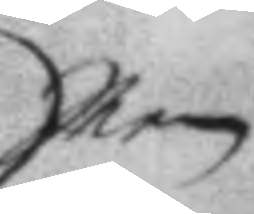Men
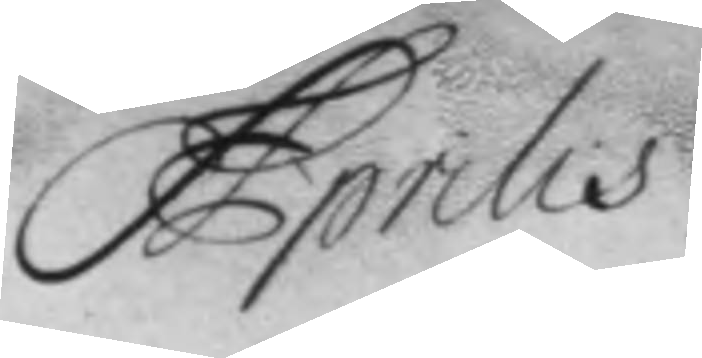Aprilis
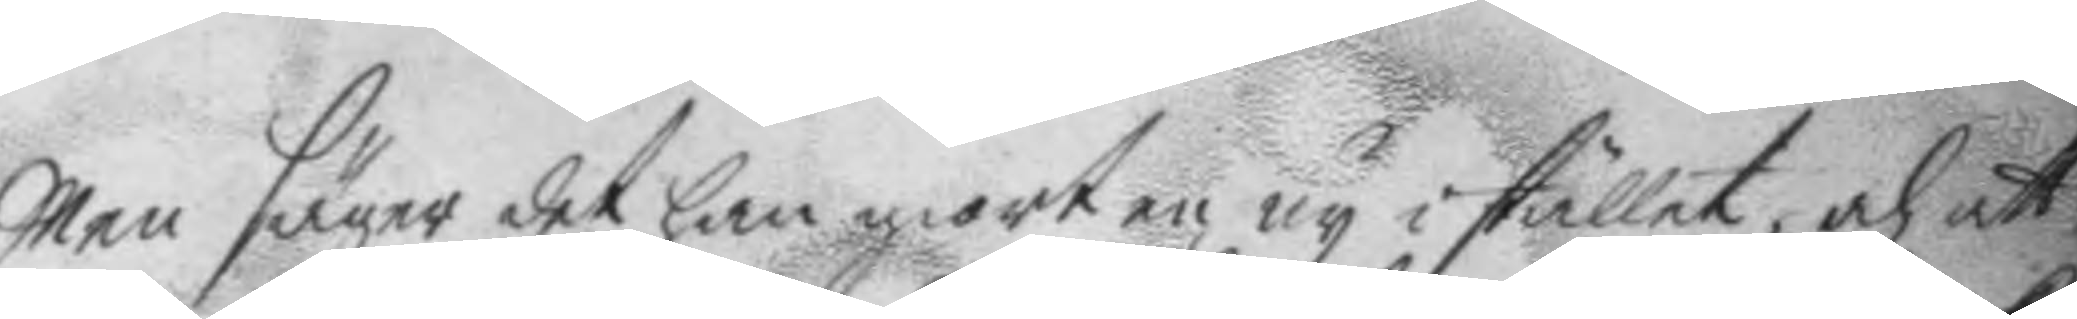Men säger det han giort en ny i stället, och att
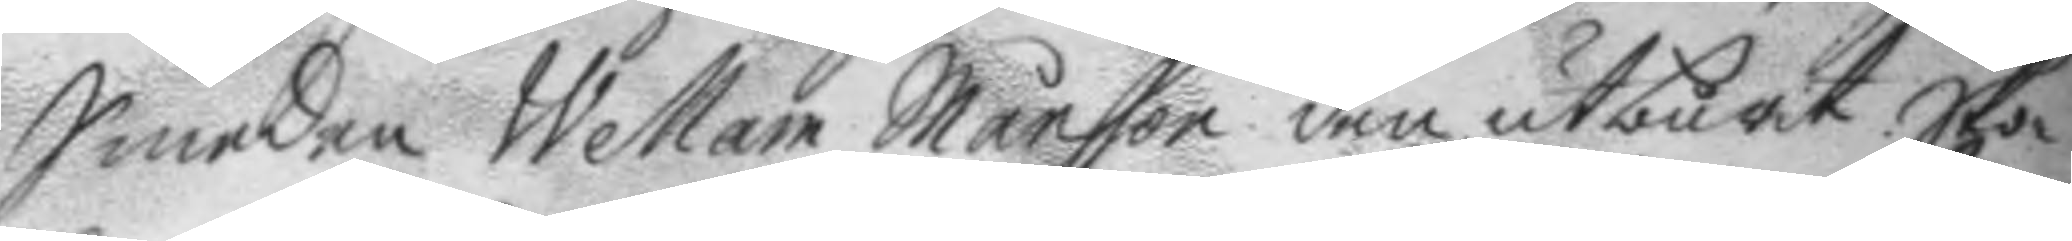Smeden Wellam Månsson den utburit. Sko¬
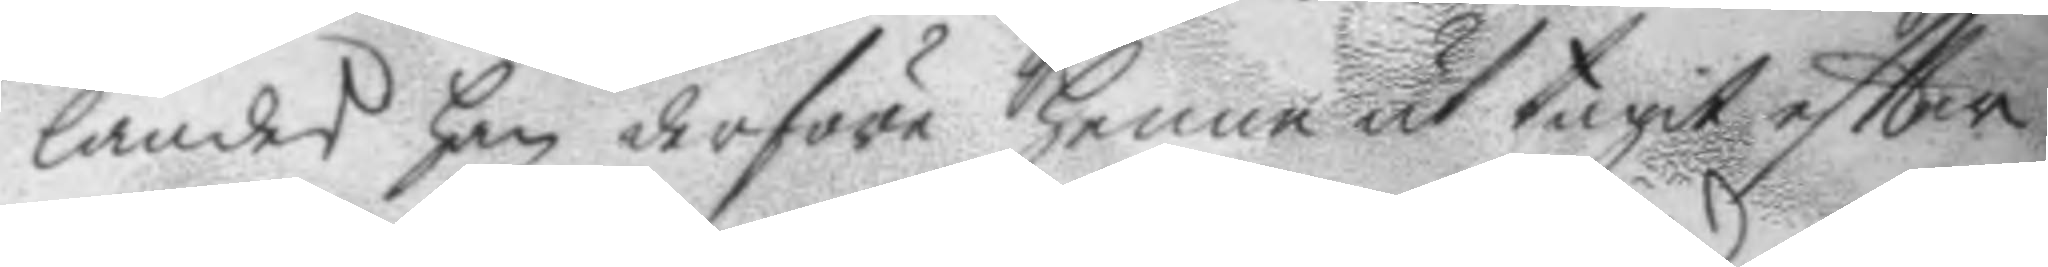landes han derföre henne ut tagit eftter
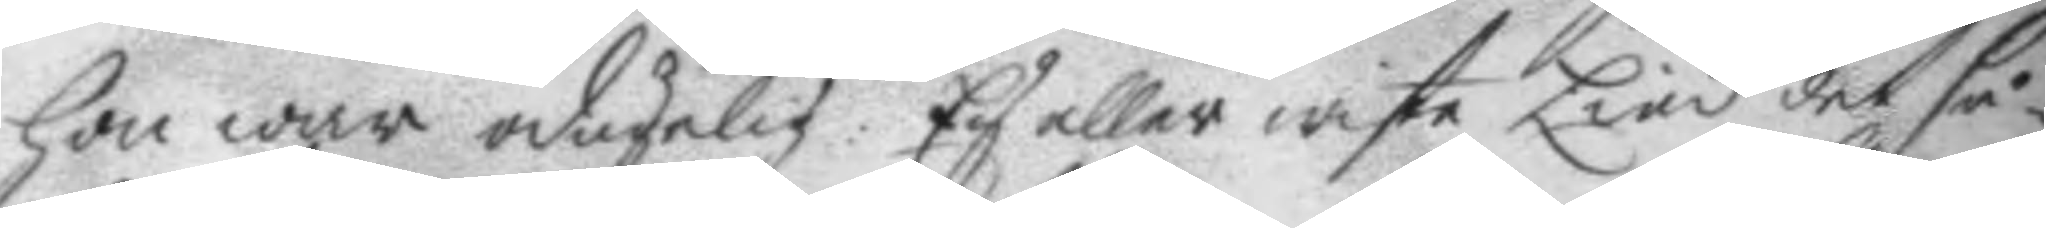hon war odugelig. Ey eller wiste Lind det så¬
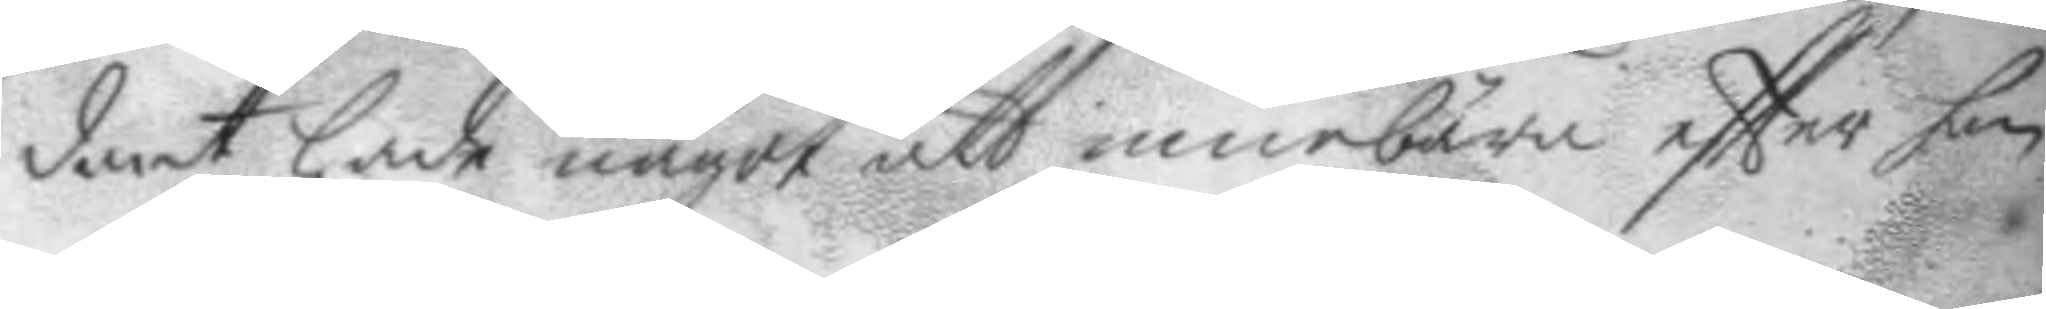dant hade något att innebära eftter han
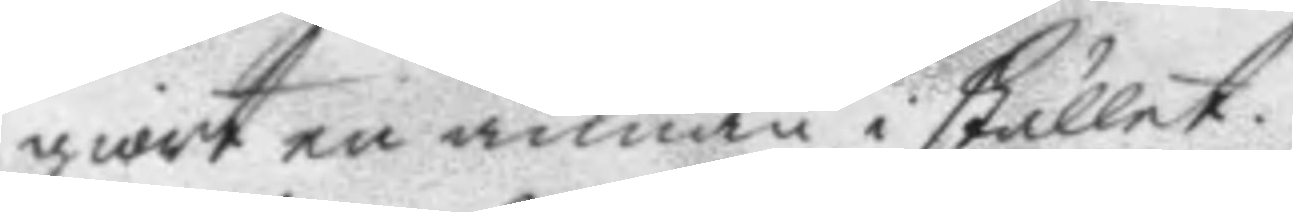giort en annan i stället.
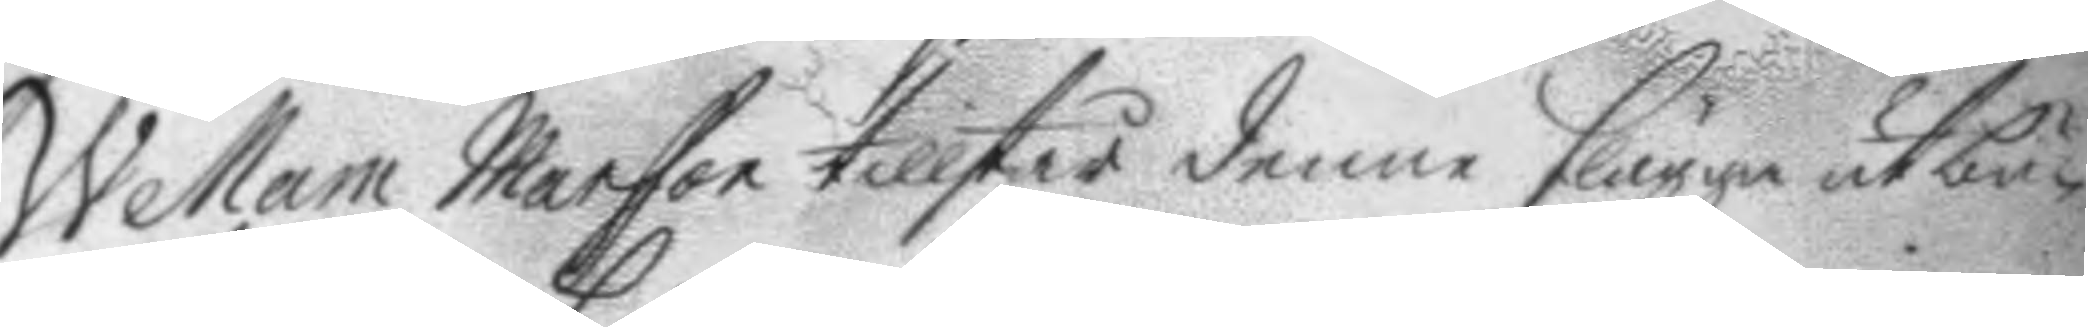Wellam Mansson tillstår denne slägga utbu¬
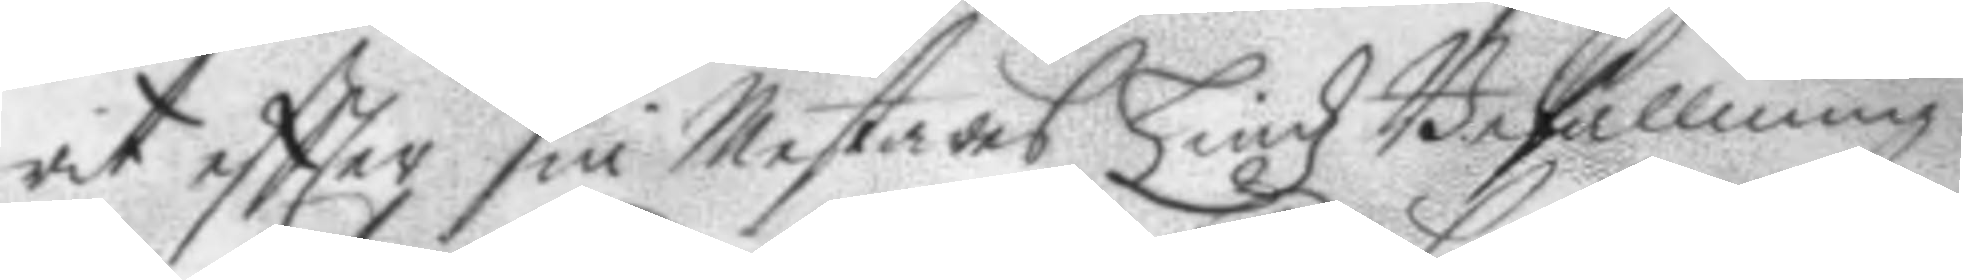rit eftter sin Mesters Lindz Befallning,
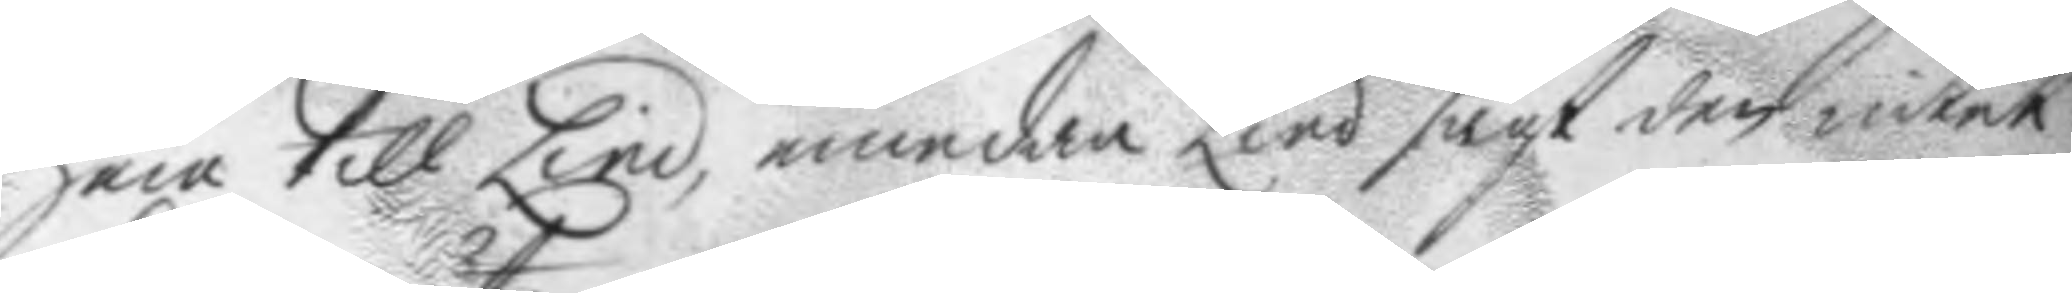hem till lind, emedan Lind sagt den intet
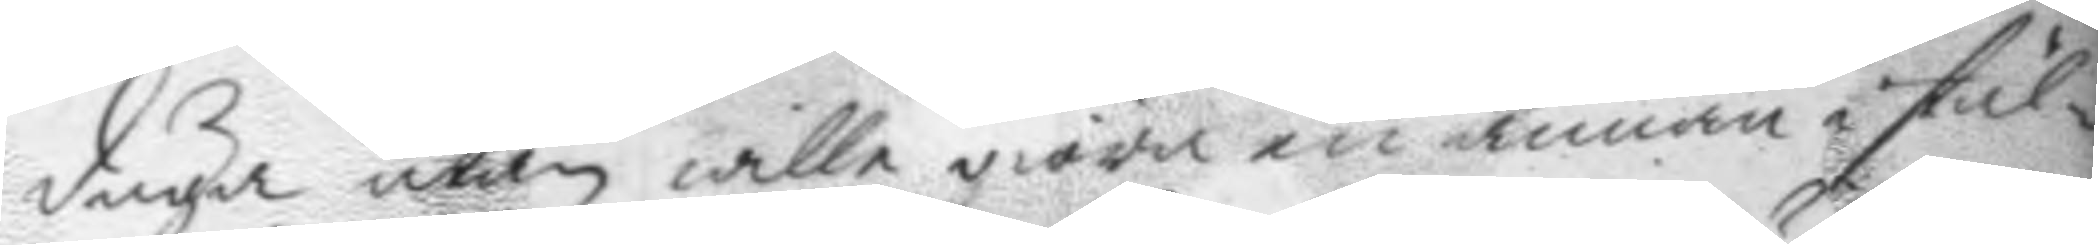duga utan wille giöra en annan i stäl¬
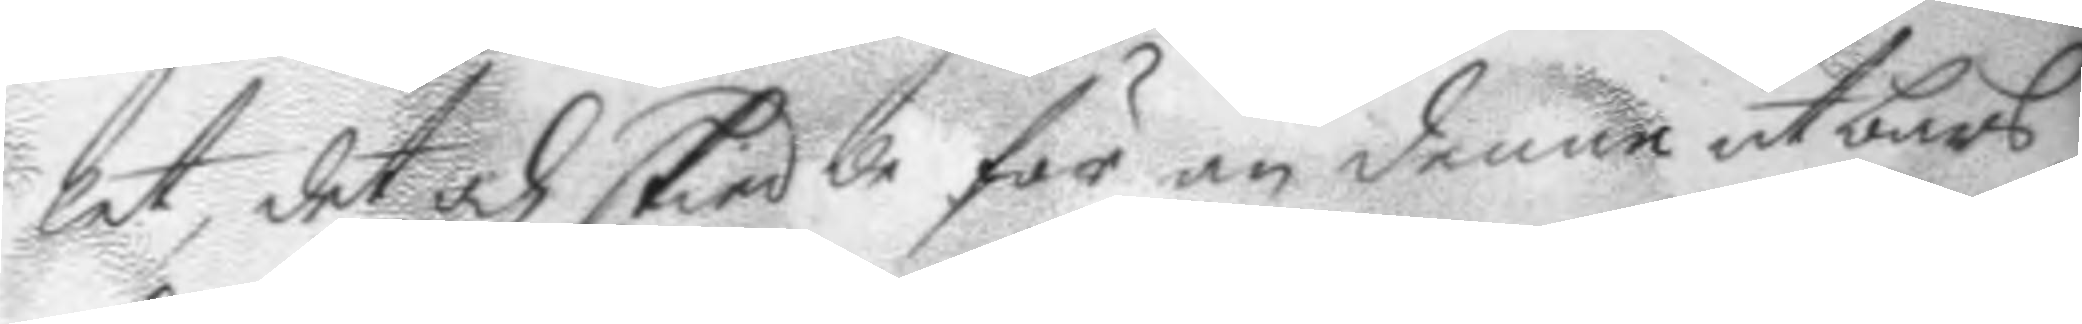let, det och skiedde för än denne utbars,
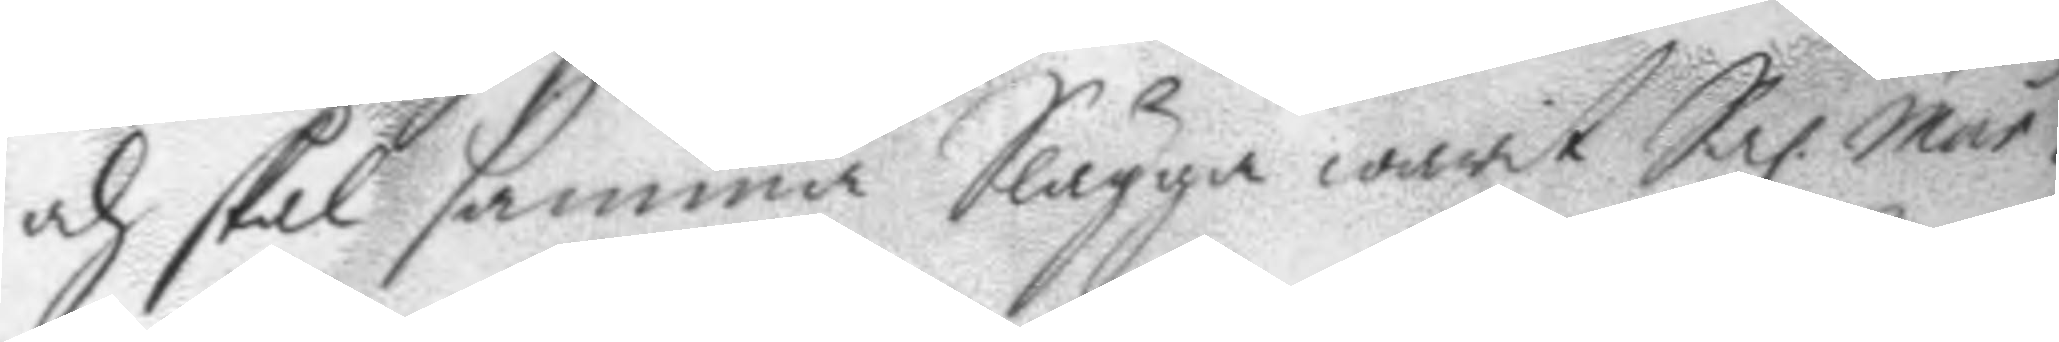och skal samma Slägga warit Sal. Mäs¬
